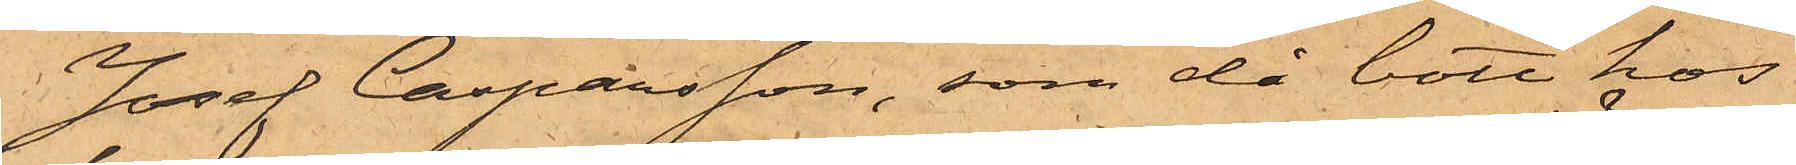Josef Casparsson, som då bott hos
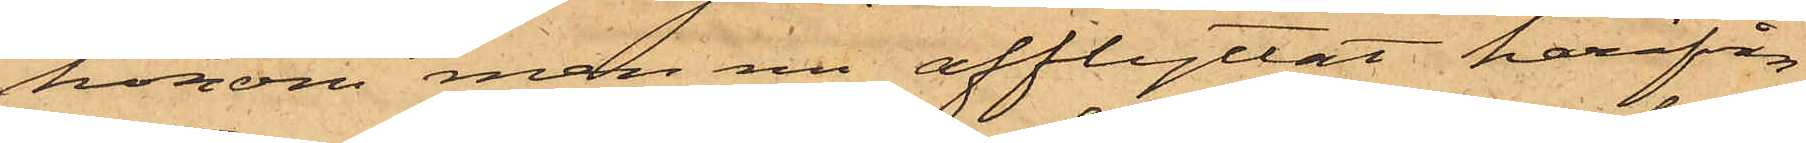honom men nu afflyttat härifrån
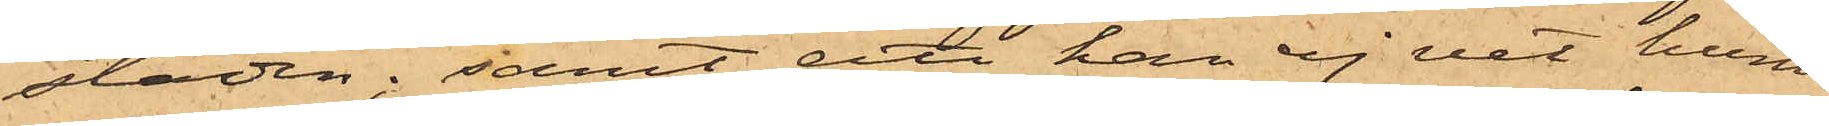staden; samt att han ej vet huru
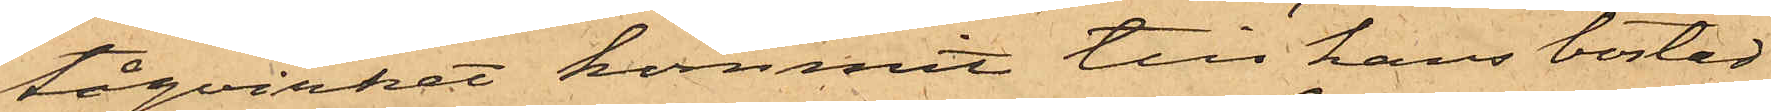tågvirket kommit till hans bostad
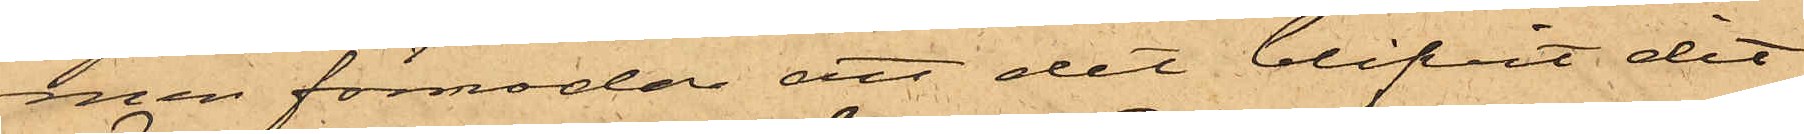men förmodar att det blifvit dit¬
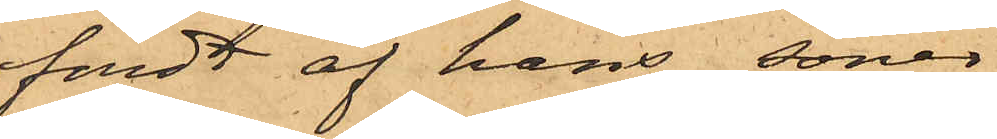fördt af hans söner
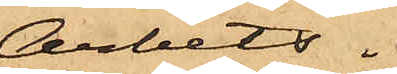Arbets¬
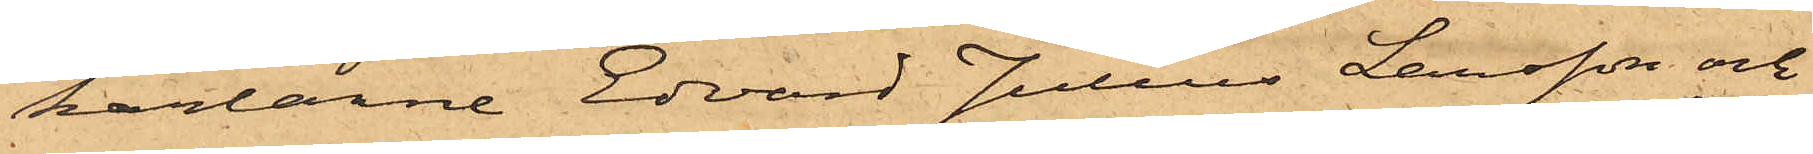karlarne Edvard Julius Larsson och
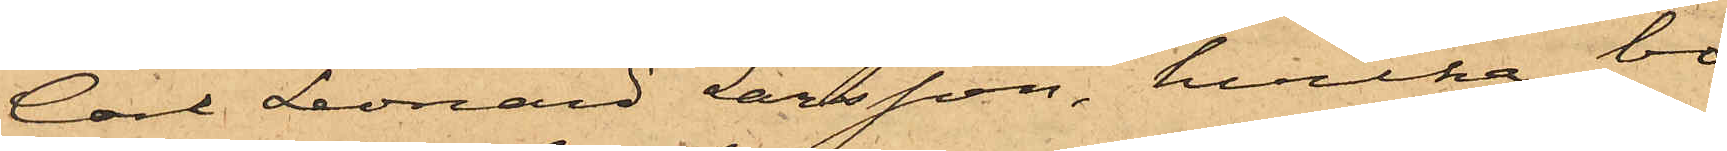Carl Leonard Larsson, hvilka bo
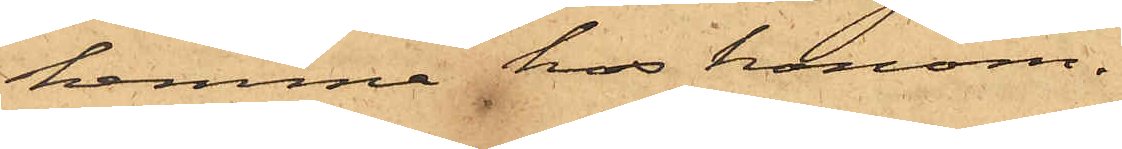hemma hos honom.
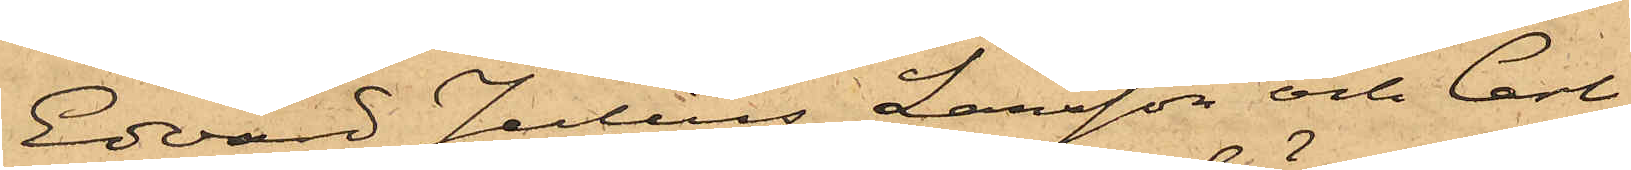Edvard Julius Larsson och Carl
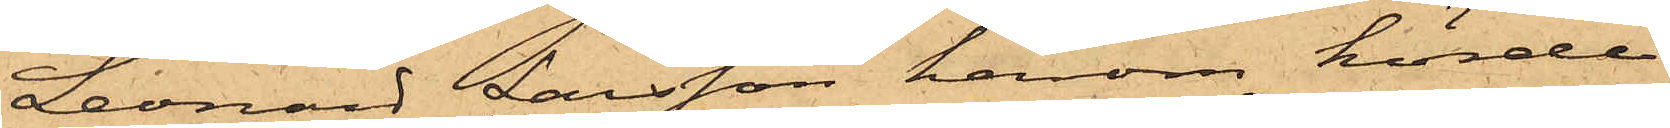Leonard Larsson härom hörde
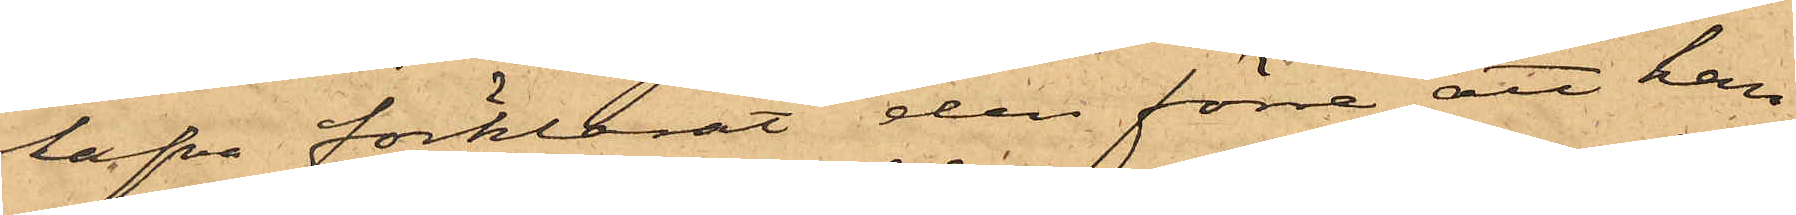hafva förklarat den förre att han
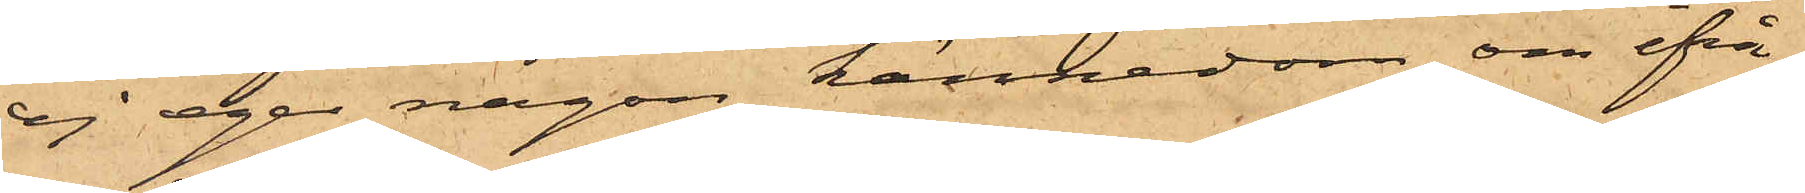ej eger någon kännedom om ifrå¬
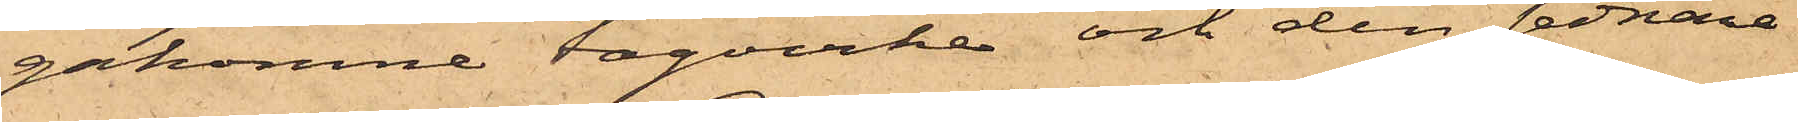gakomne tågvirke och den sednare
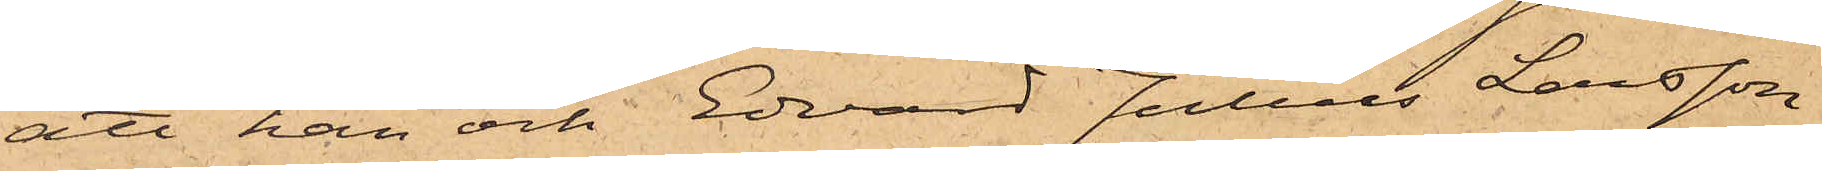att han och Edvard Julius Larsson
